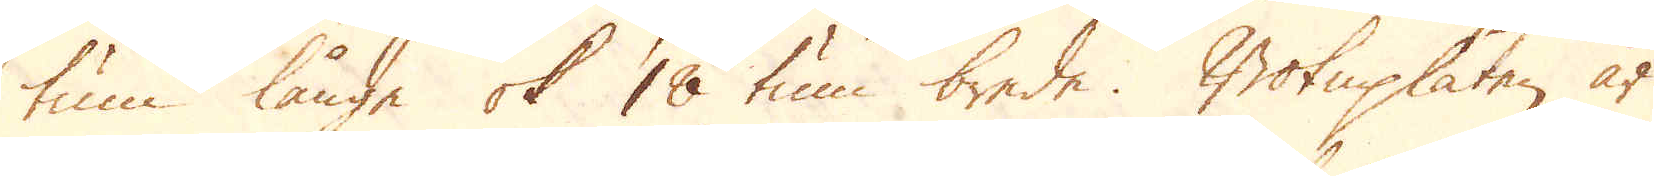tum långe ok 18 tum brede. Botnplåten är
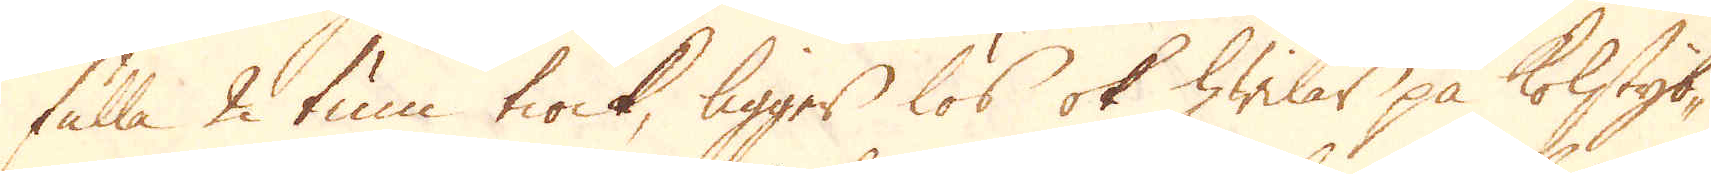fulla 2 tum tiock, ligger lös ok hwilar på kolstyb-
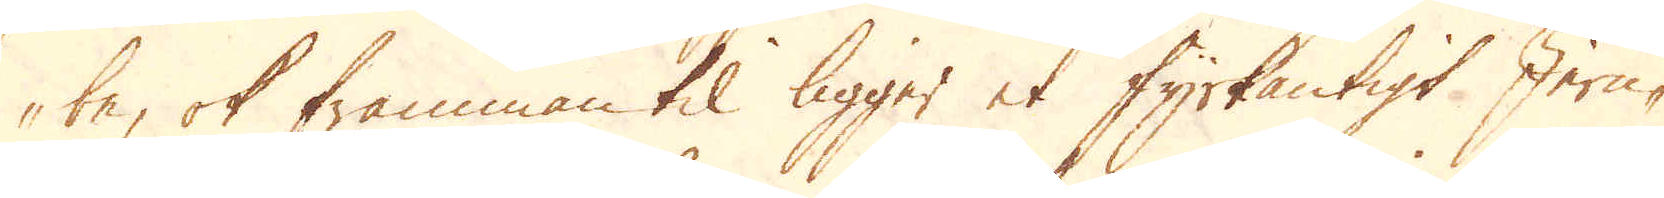be, ok framman til ligger et fyrkantigt Jern-
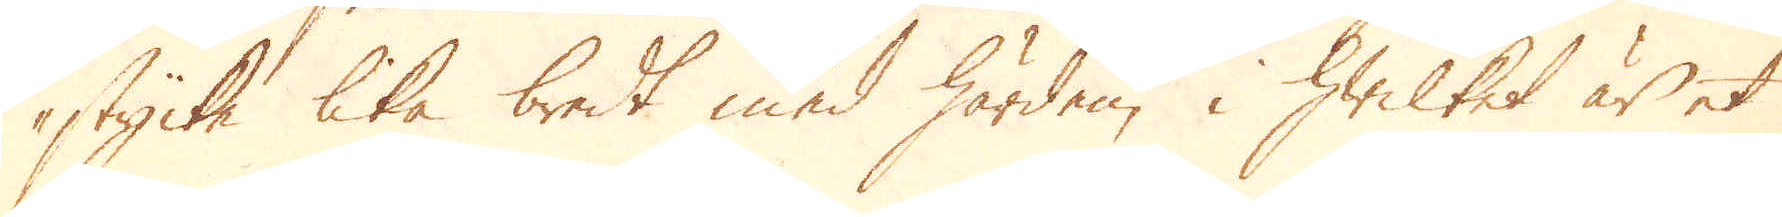stucke lika bredt med härden, i hwilket är et
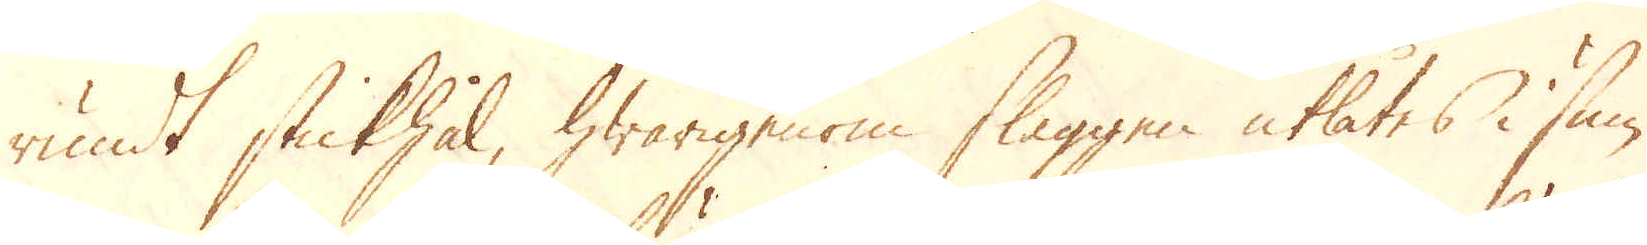rundt stickhål, hwarigenom slaggen utlåtes i sum-
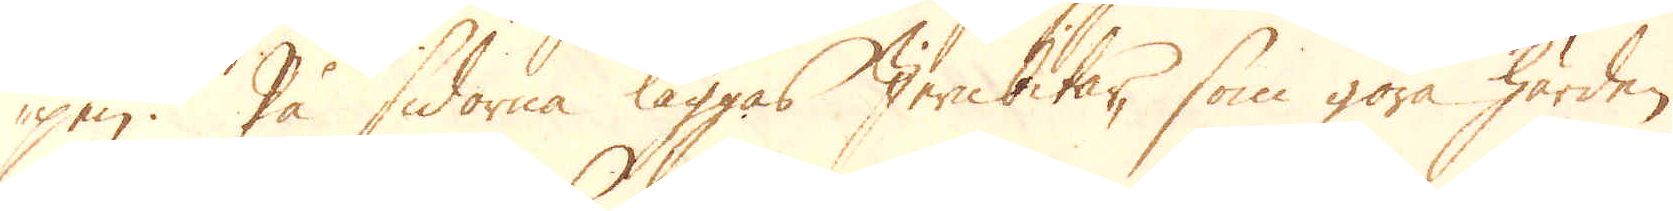pen. På sidorne läggas Jernbitar, som göra härden
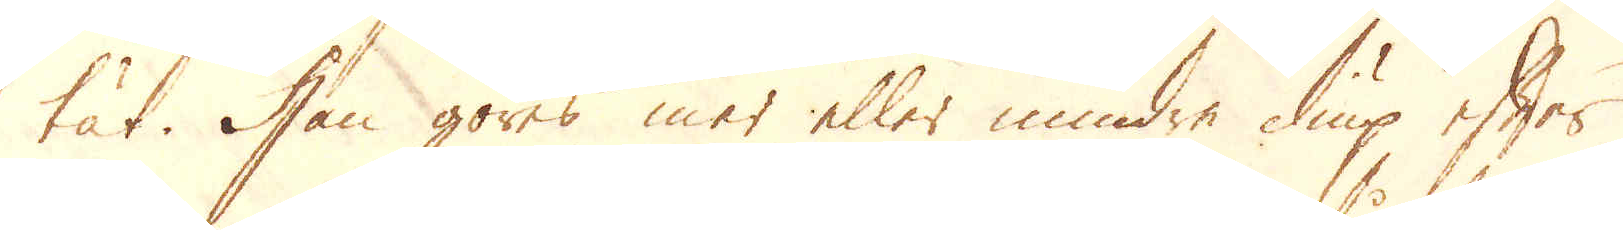tät. Han göres mer eller mindre diup efter
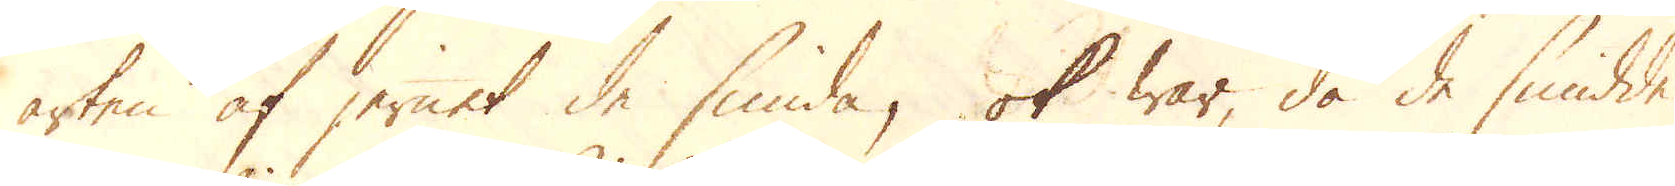arten af jernet de smida, ok war, då de smidde
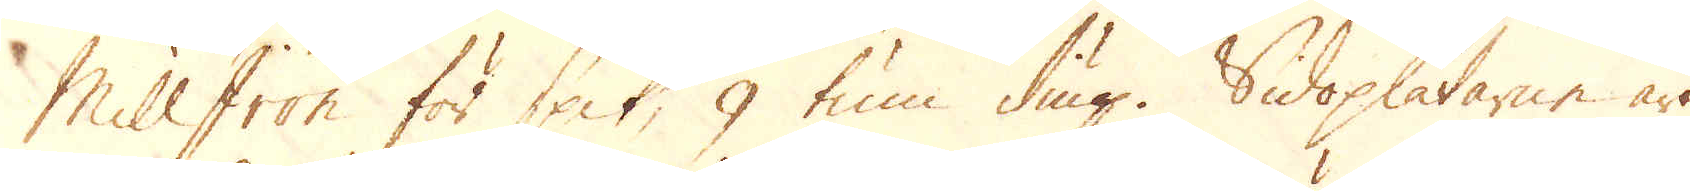Mill Iron för spik, 9 tum diup. Sidoplåtarne äro
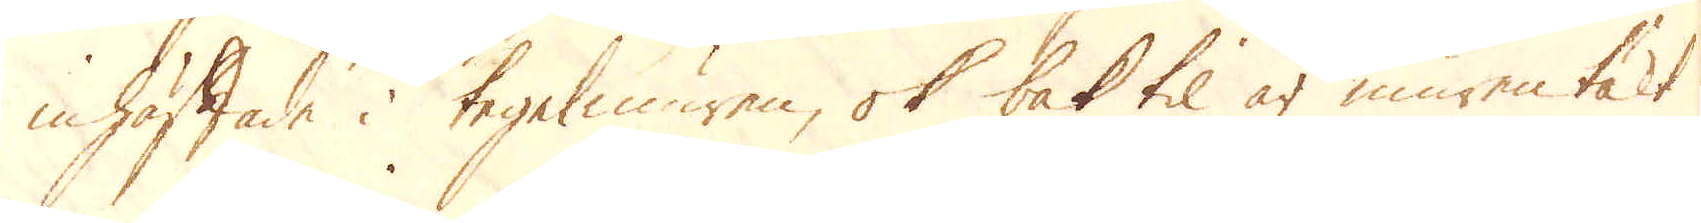inhäftade i tegelmuren, ok bak til är muren täkt
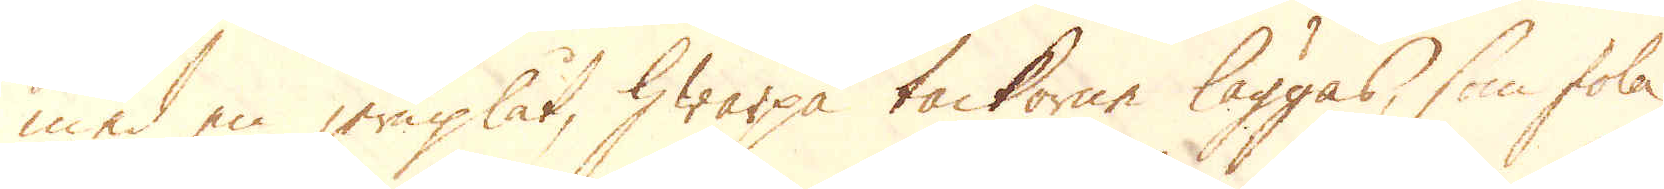med en jernplåt, hwarpå tackorne läggas, som skola
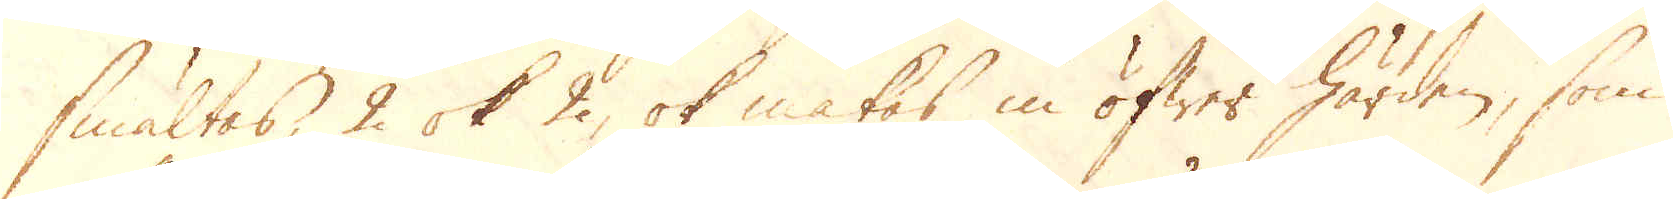smältas, 2 ok 2, ok matas in öfwer härden, som
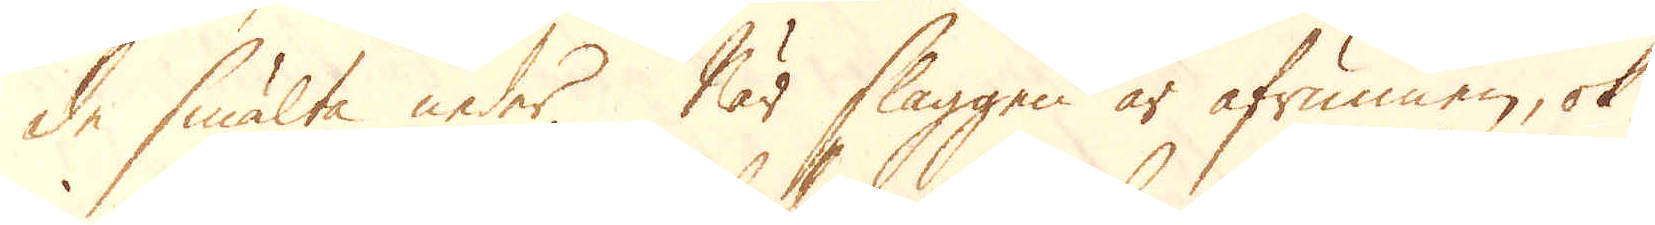de smälta neder. När slaggen är afrunnen, ok
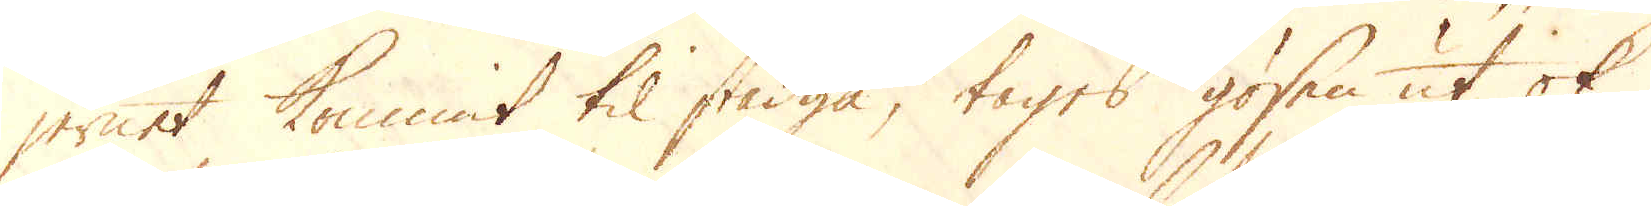jernet kommit til stadga, tages gösen ut ok
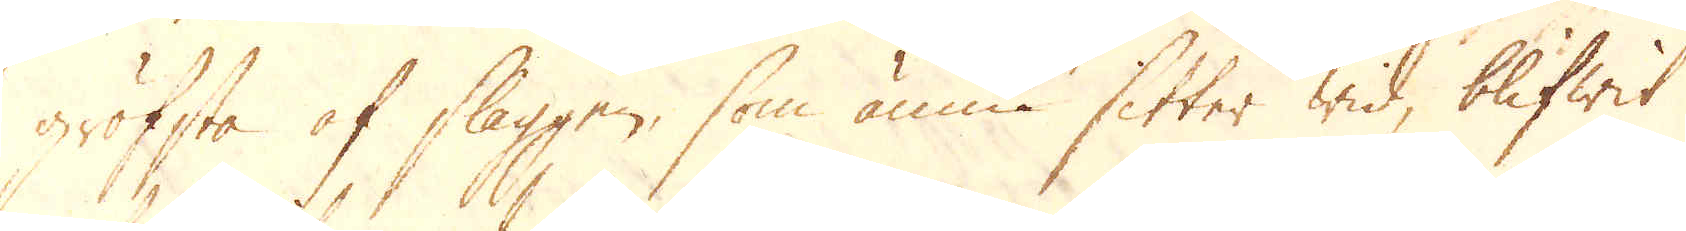gröfsta af slaggen, som ännu sitter wid, blifwit
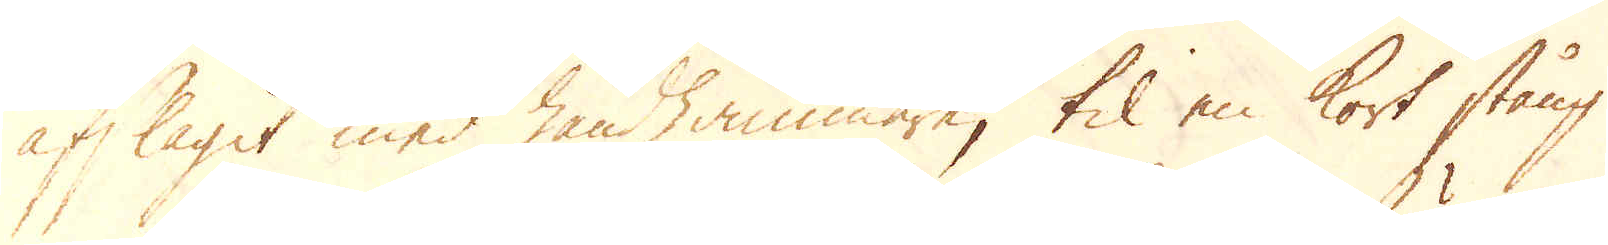afslagit med handhammare, til en kort stång
